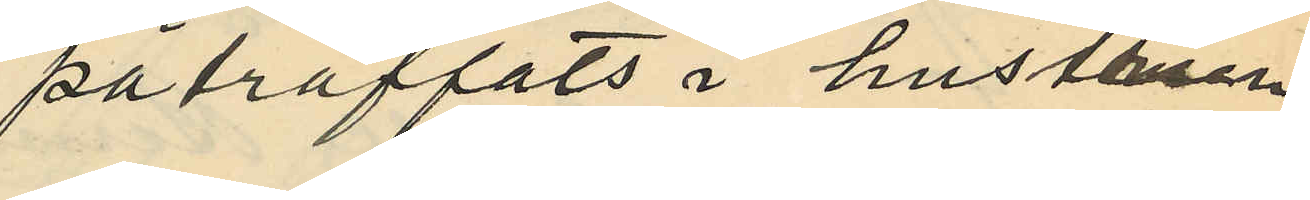påträffats i hustrun
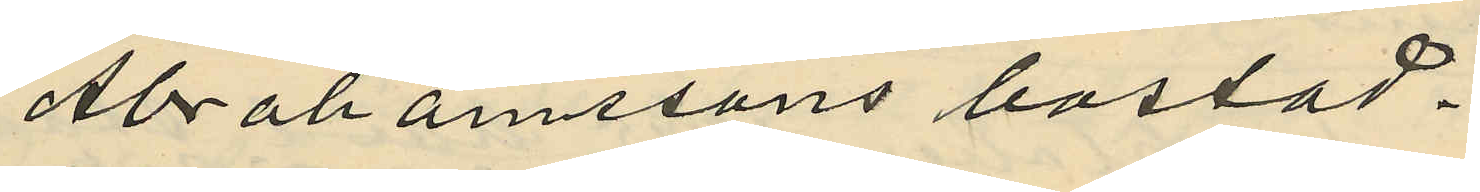Abrahamssons bostad.
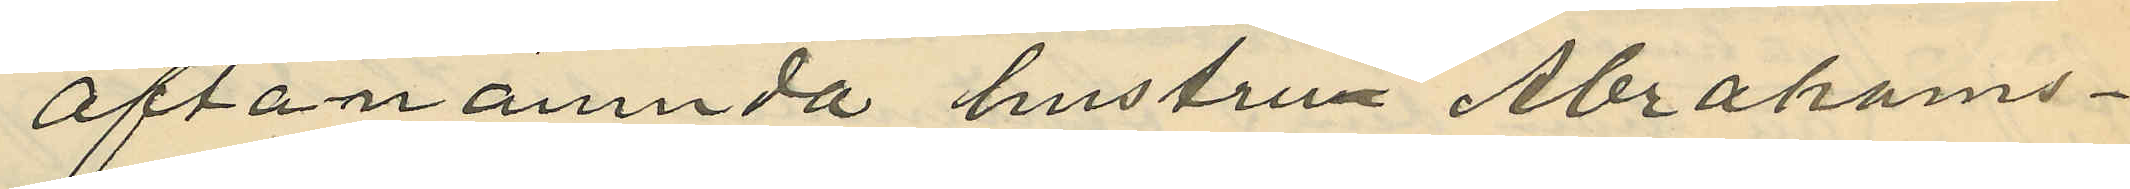Oftanämnda hustrun Abrahams¬
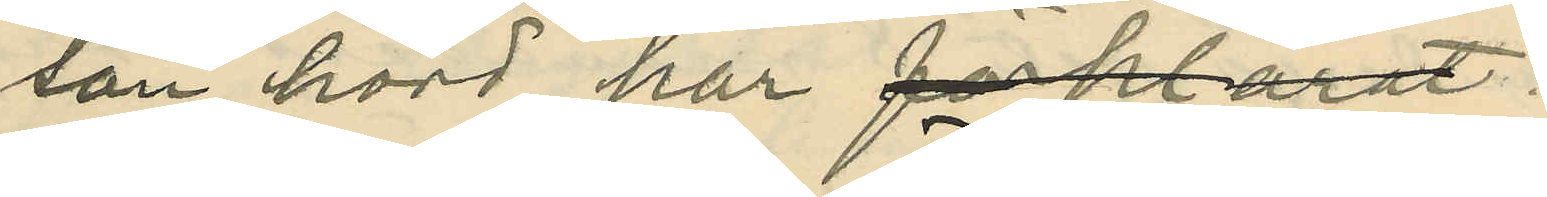son hörd har förklarat:
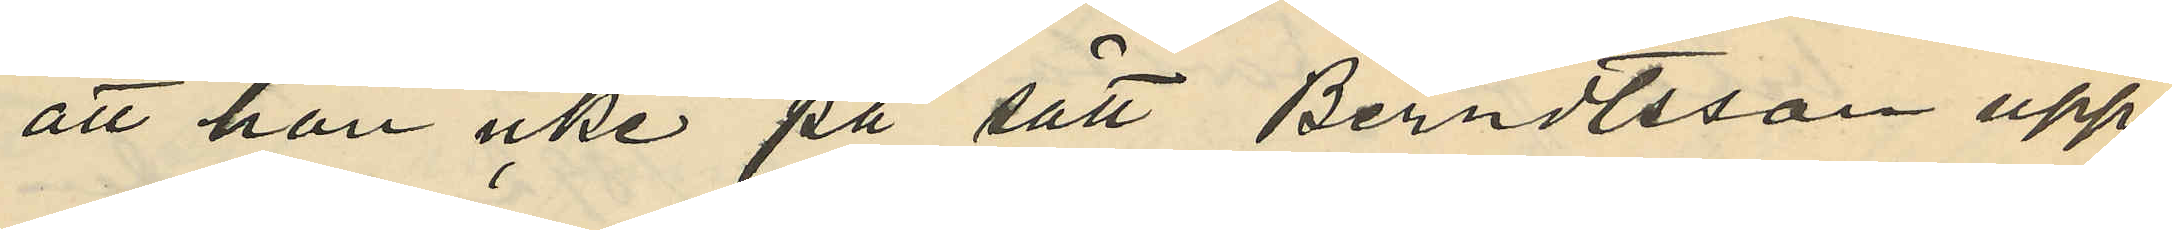att hon icke på sätt Berndtsson upp¬
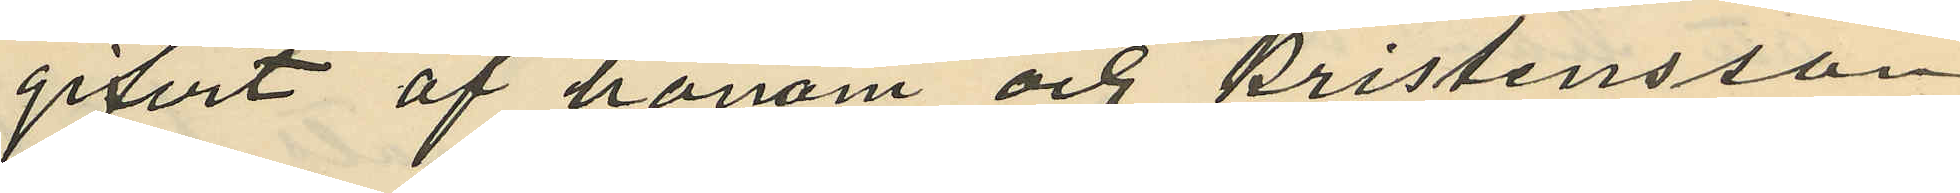gifvit af honom och Kristensson
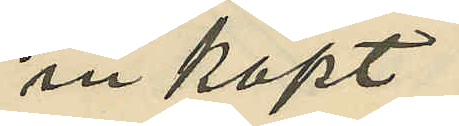inköpt
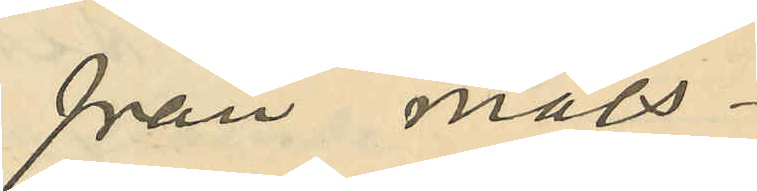från måls¬
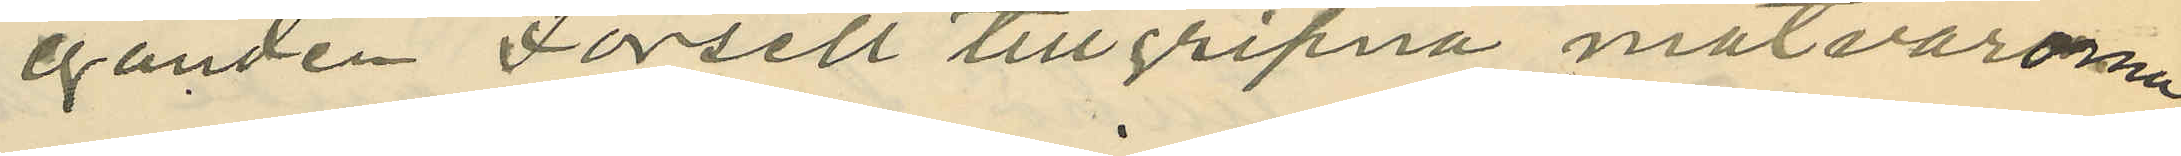eganden Forsell tillgripna matvarorna
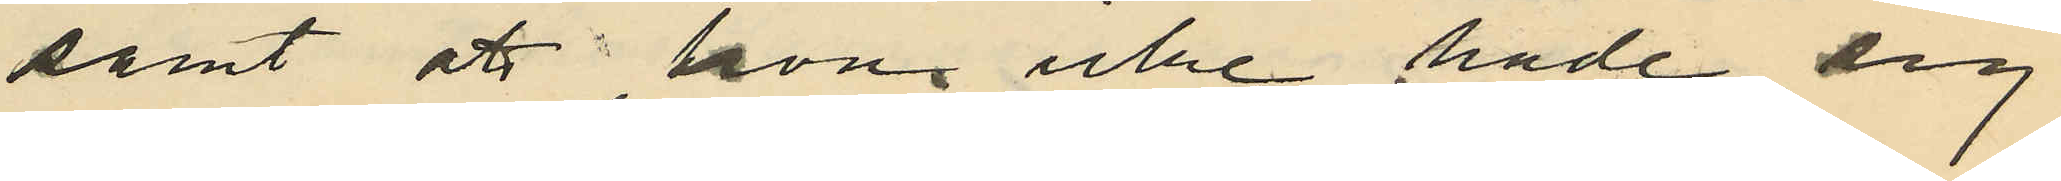samt att hon icke hade sig
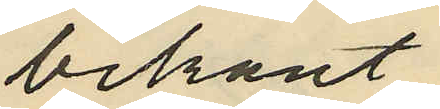bekant
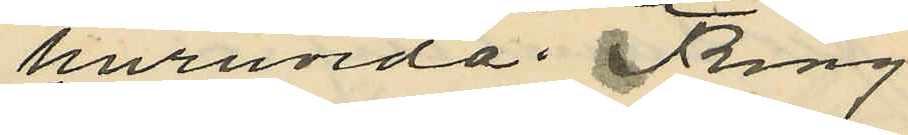huruvida Ring
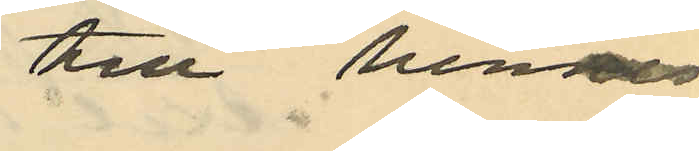till hennes
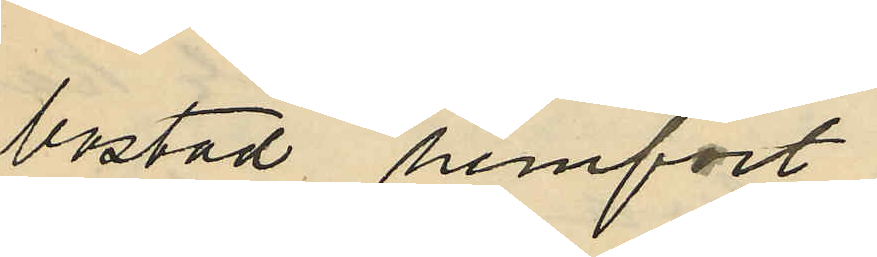bostad hemfört
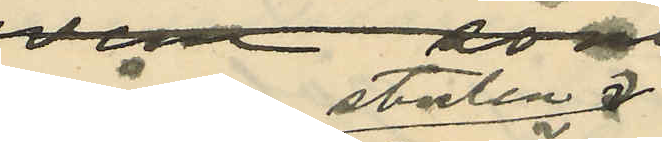någon stulen
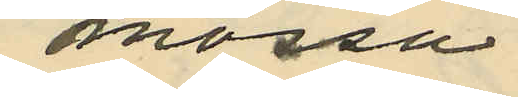mössa
